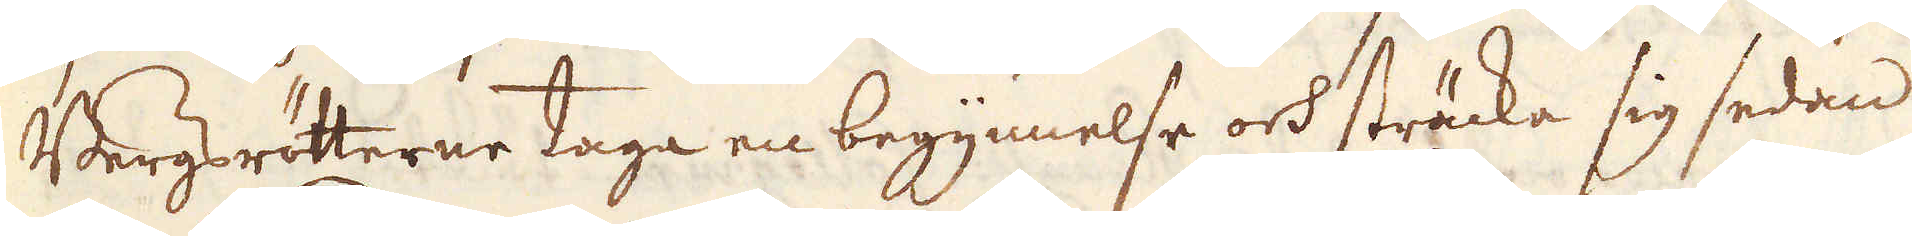Bergrötterne taga en begynnelse och sträcka sig sedan
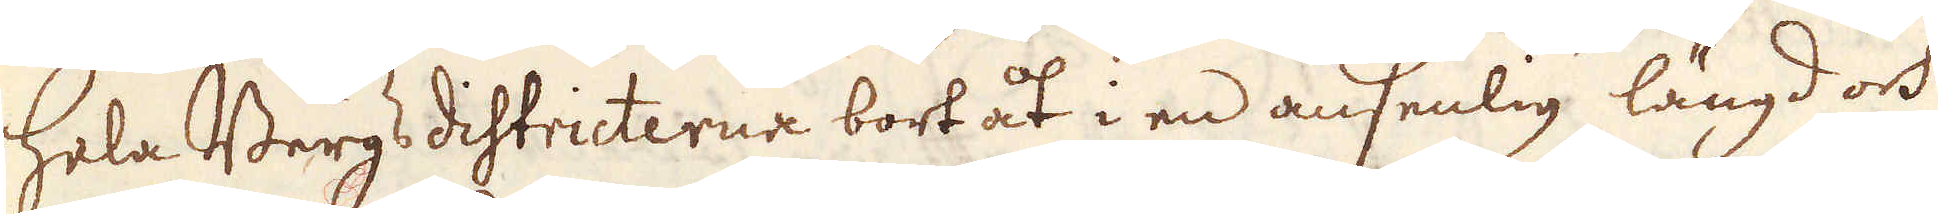hela Bergs districterne bort åt i en ansenlig längd och
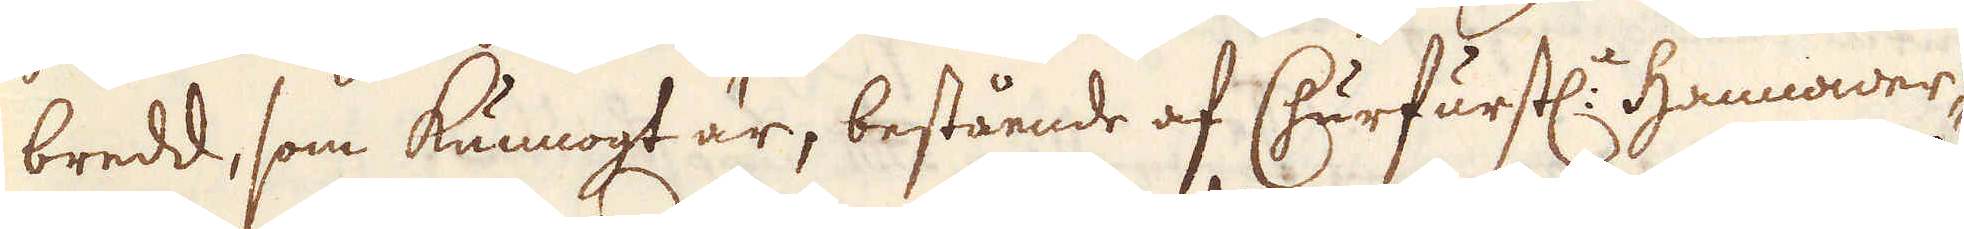bredd, som kunnogt är, bestående af Churfurstl: Hannover-
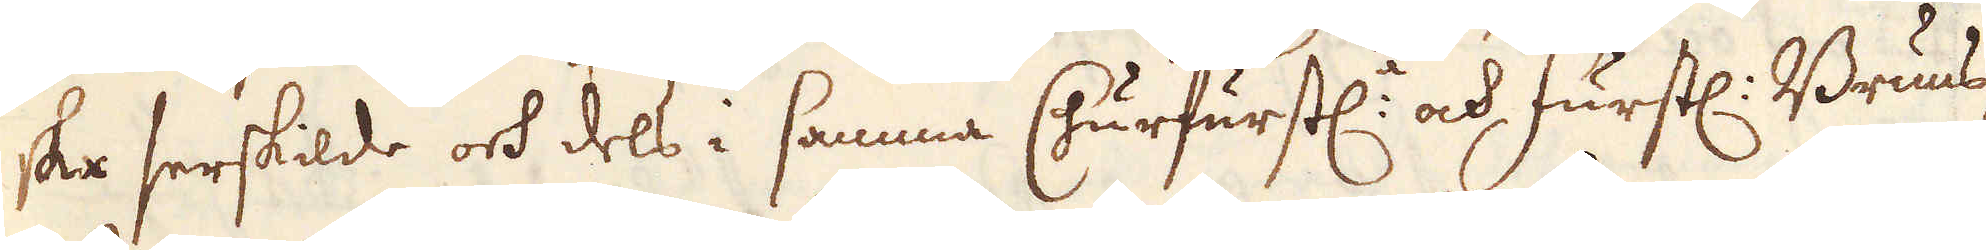ska serskilde och dels i samma Churfurstl: ock furstl: Bruns-
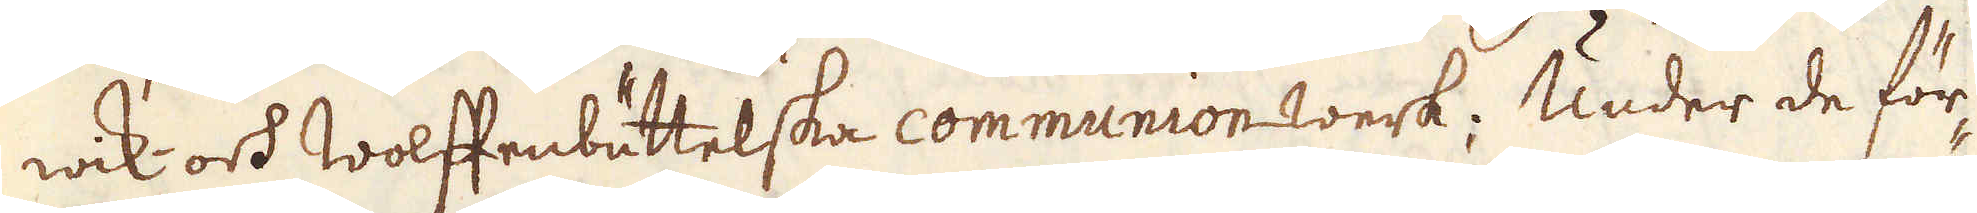wik- och wolffenbättelska communion werk. Under de för-
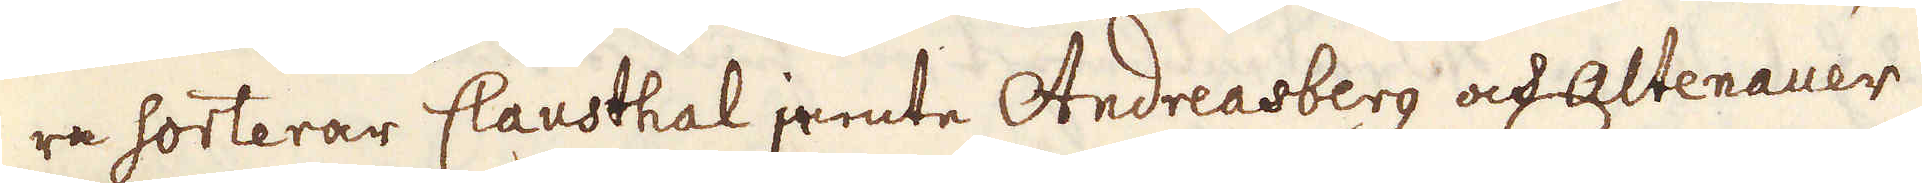ra sorterar Clausthal jamte Andreasberg ock Altenauer.
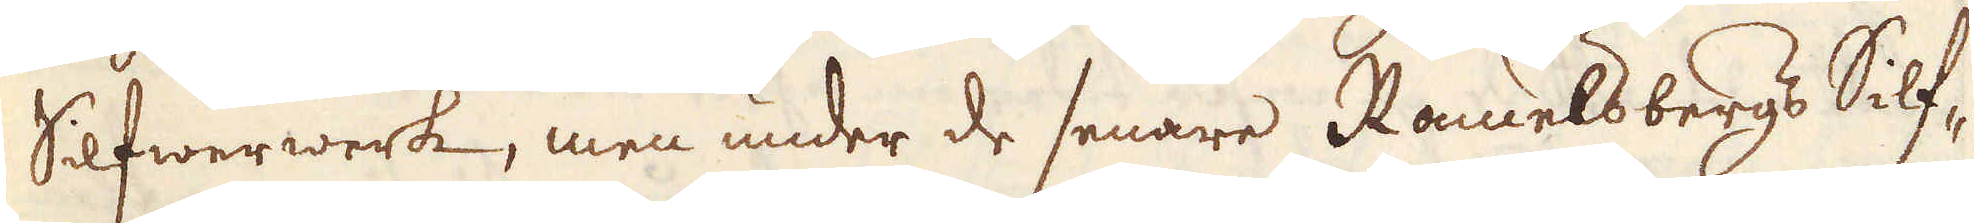Silfwerwerk, men under de senare Ramelsbergs Silf-
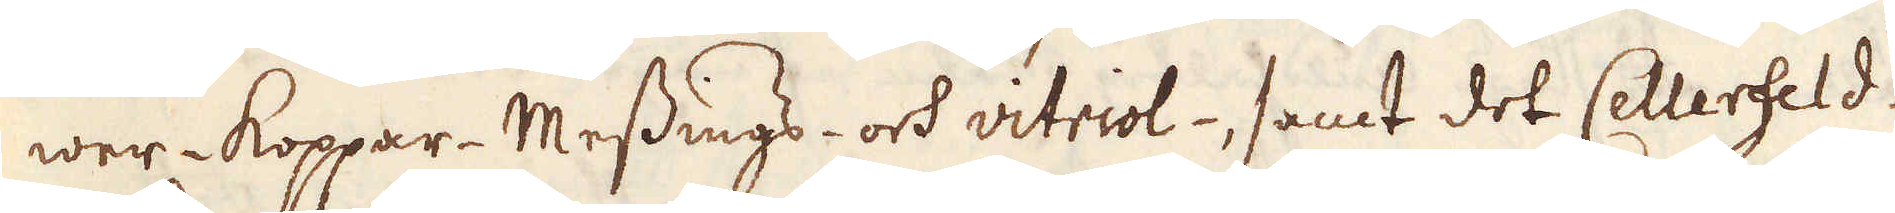wer- Koppar-Messings- och vitriol- samt dok Cellerfeld-
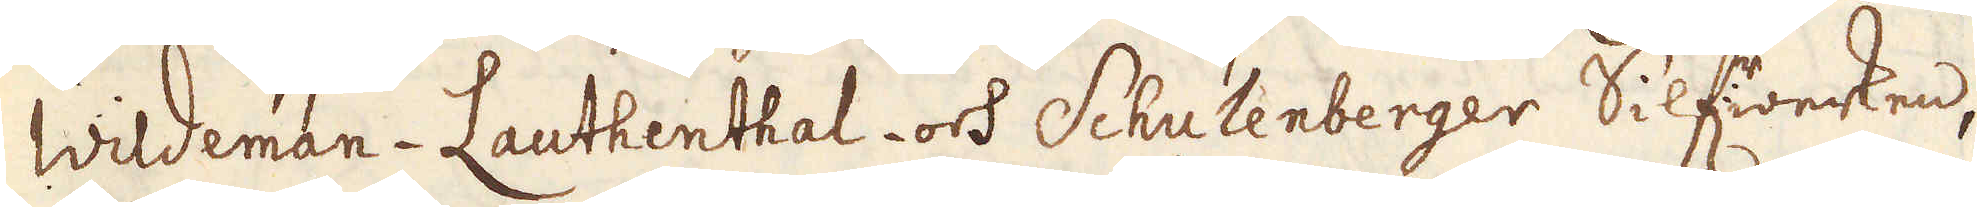Wildeman- Lauthenthal- och Schulenberger Silfwerwerken,
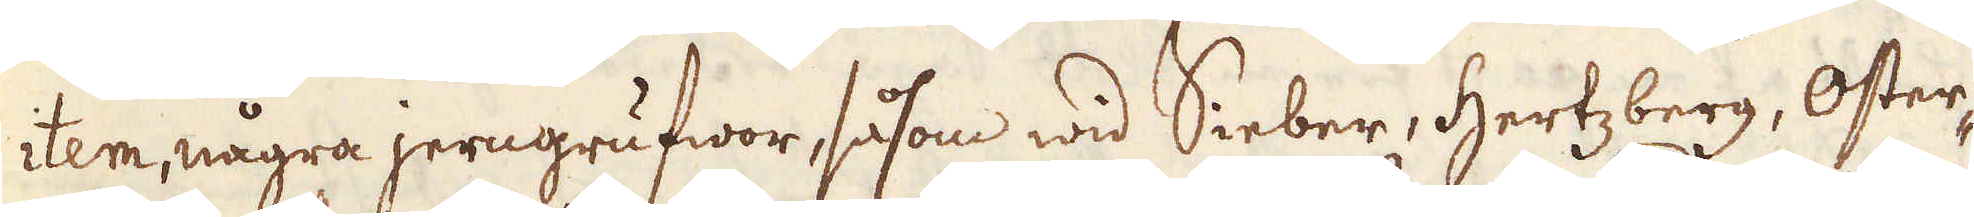item några jerngrufwor, så som wid Sieber, Hertzberg, Oster-
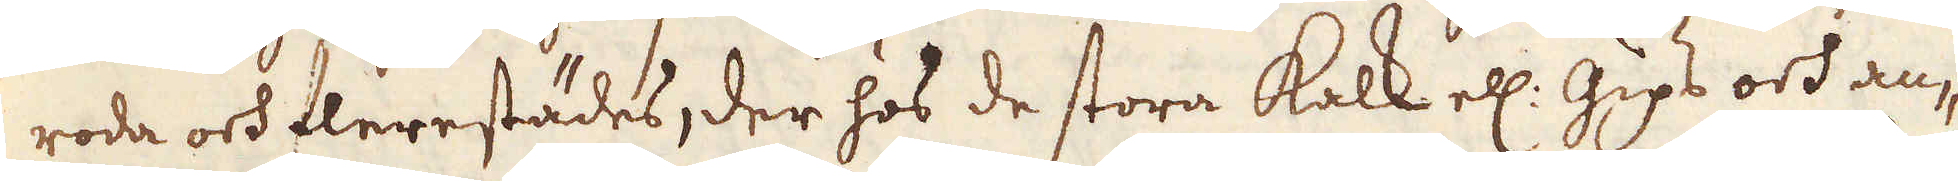rode och flerestädes, der hos de stora kalk el. Gips och an-
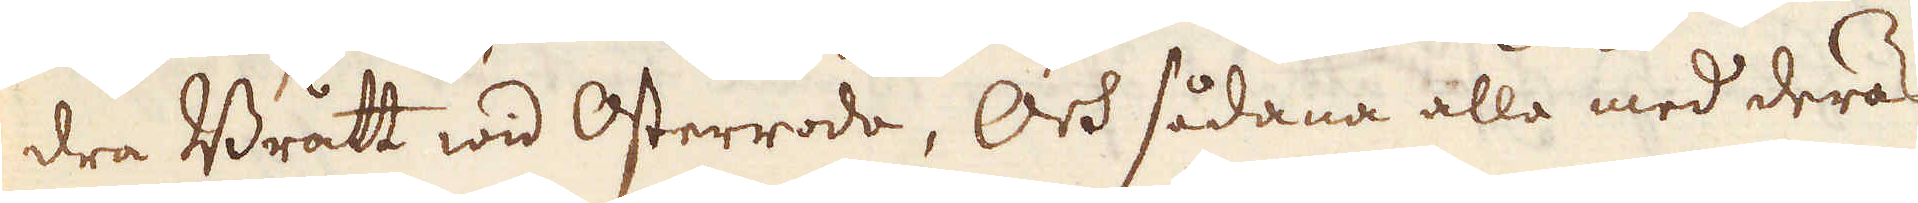dra Brått wid Osterrode, Och sådana alla med deras
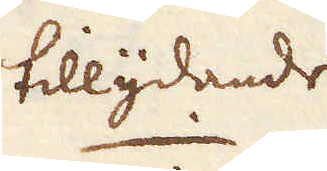tillydande
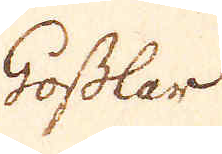Goslar
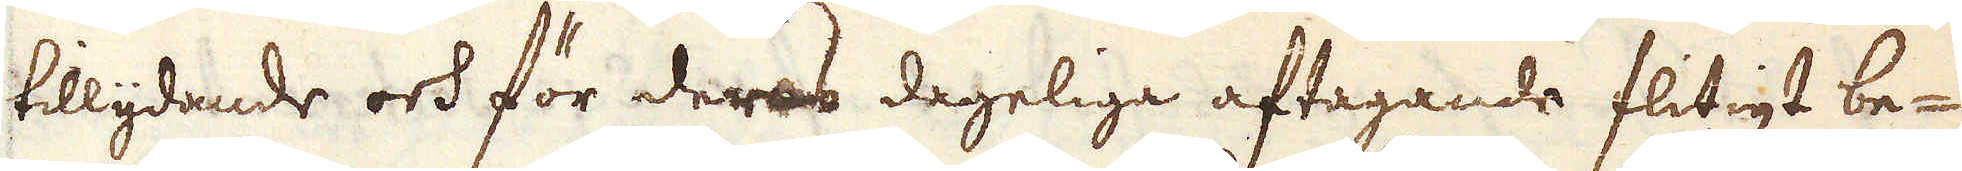tillydande och för deras dageliga aftagande flitigt be-
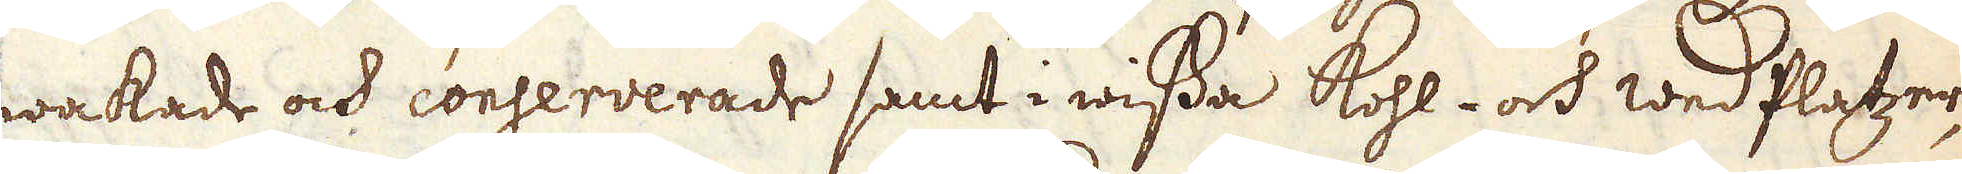wakade ock conserverade samt i wissa kohl- och wedflytzer,
